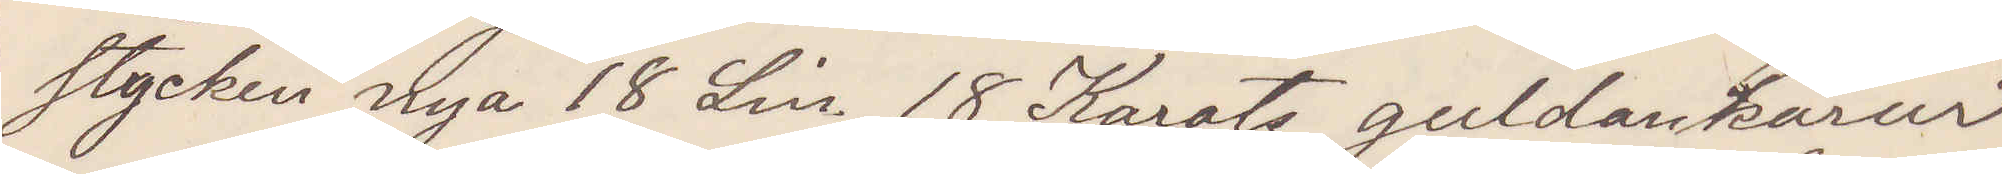stycken nya 18 Lin, 18 Karats guldankarur
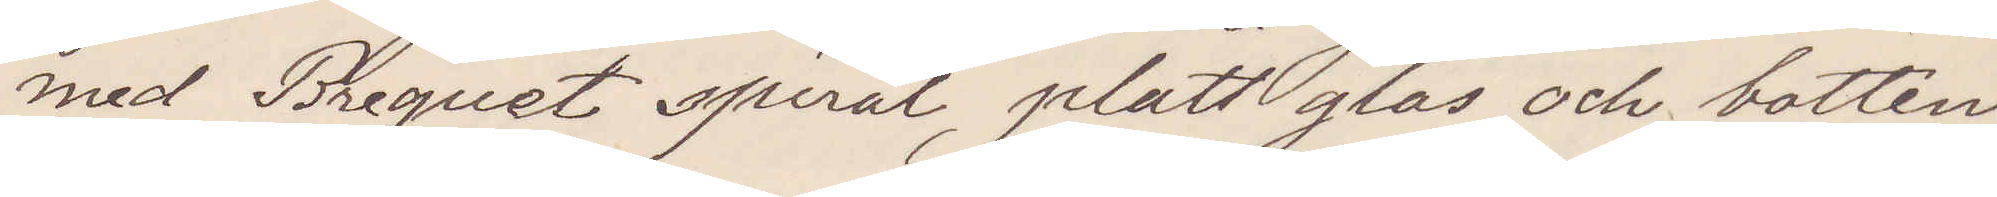med Breguet spiral, platt glas och botten
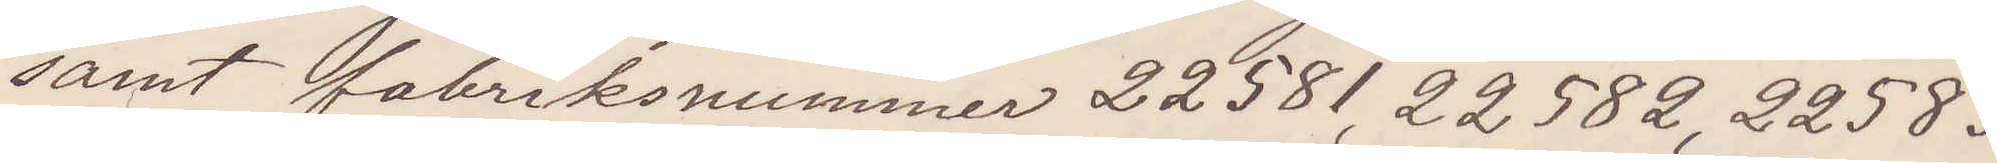samt fabriksnummer 22581, 22582, 22583.
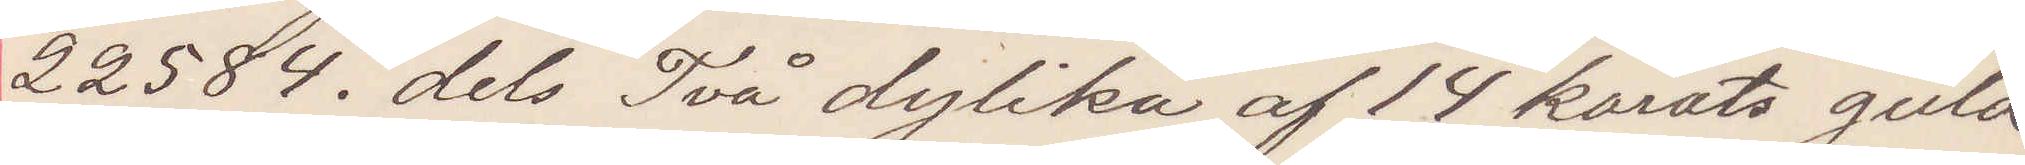22584. dels Två dylika af 14 karats guld
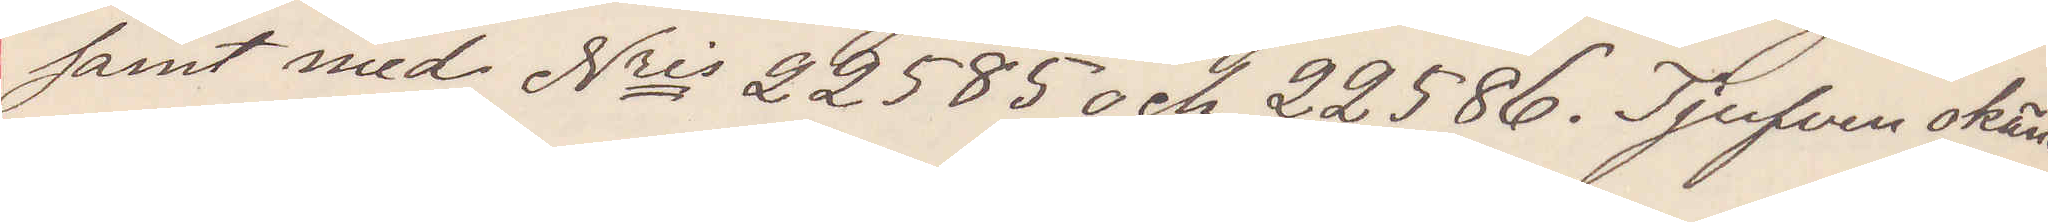samt med Nris 22585 och 22586. Tjufven okänd.
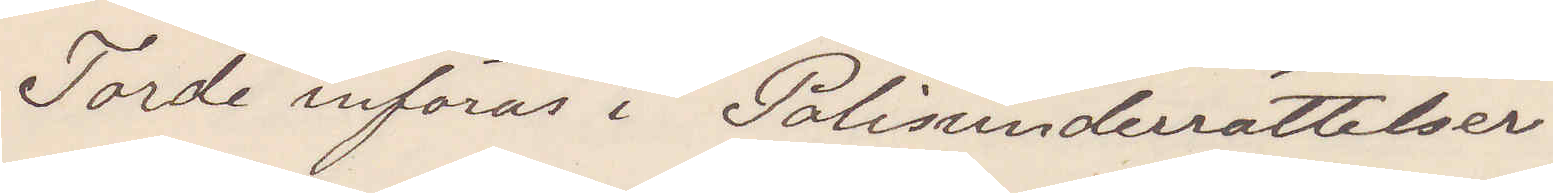Torde införas i Polisunderrättelser
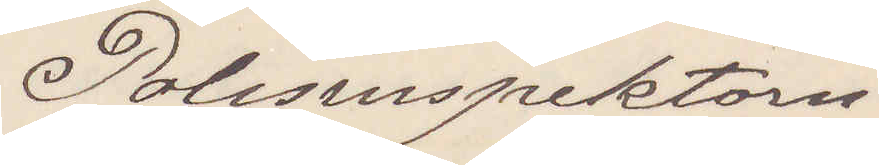Polisinspektorn.
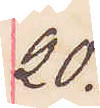20.
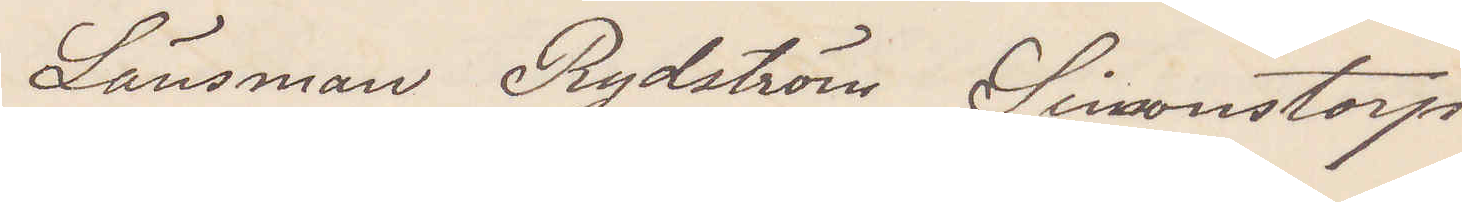Länsman Rydström Simonstorp
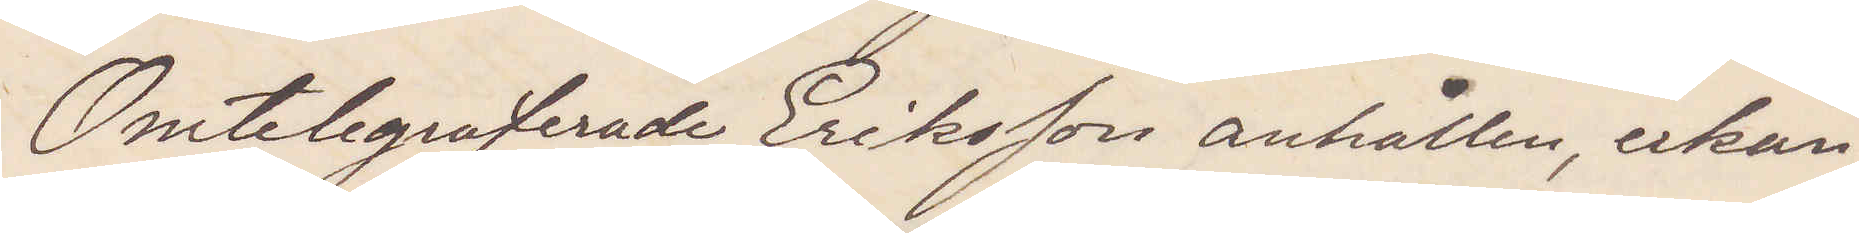Omtelegraferade Eriksson anhållen erkän¬
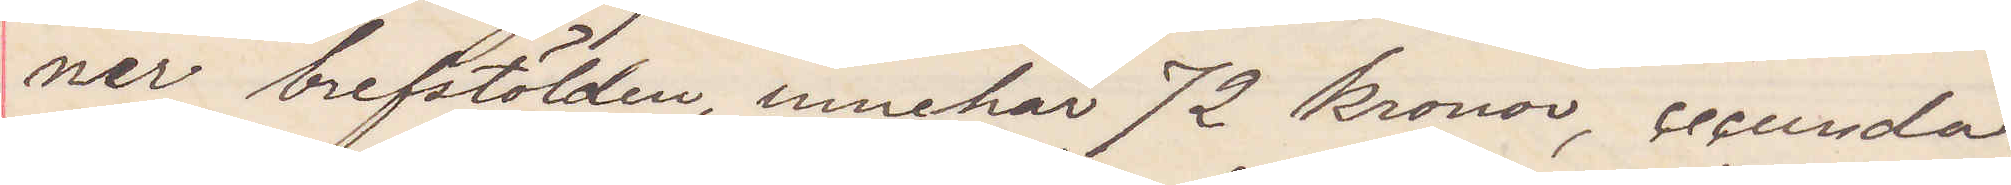ner brefstölden innehar 72 kronor, secunda
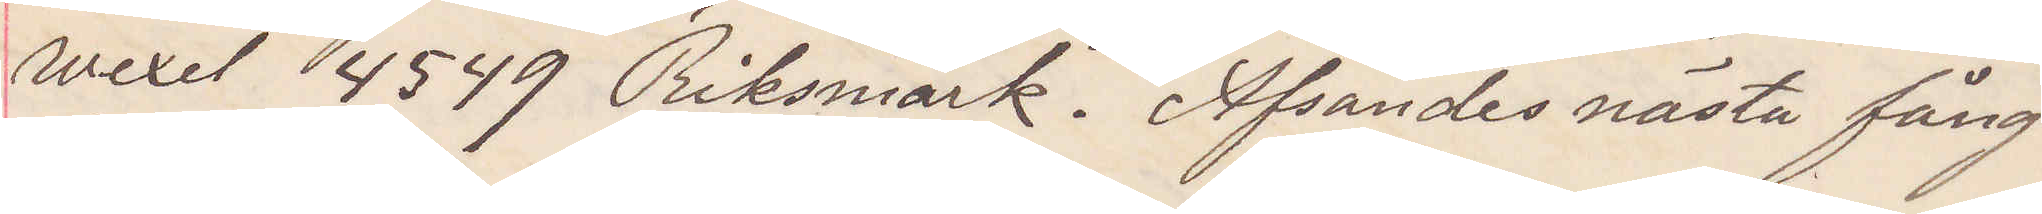wexel 4549 Riksmark. Afsändes nästa fång¬
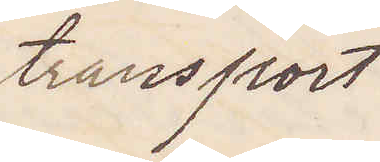transport
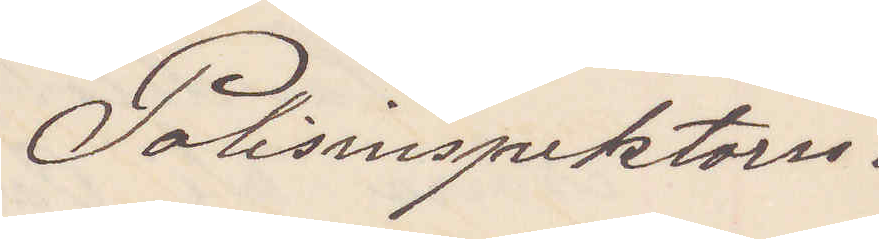Polisinspektorn.
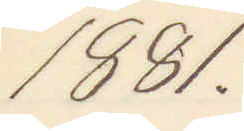1881.
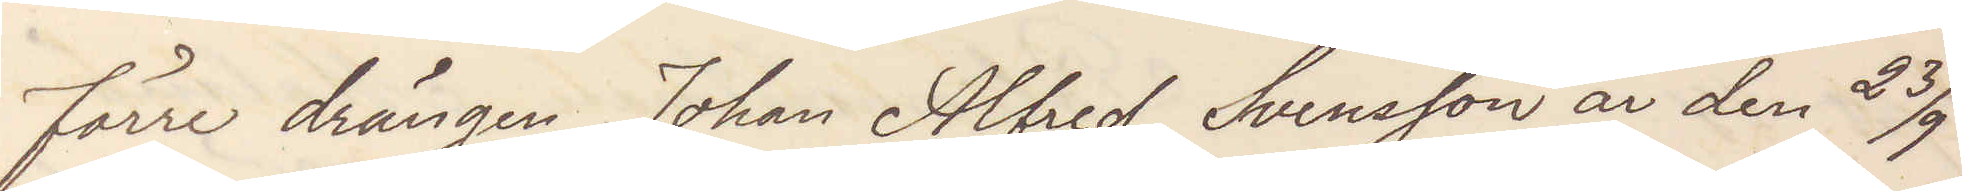förre drängen Johan Alfred Svensson är den 23/9
